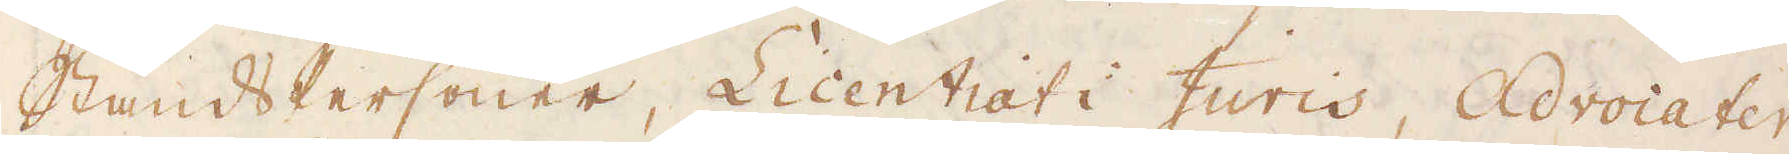StåndsPersoner, Licentiat i Juris, Advocater
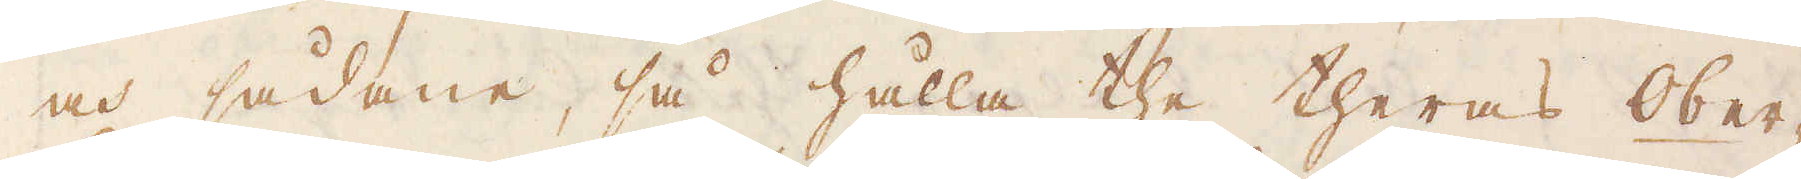och sådane, så hålla the theras ober-
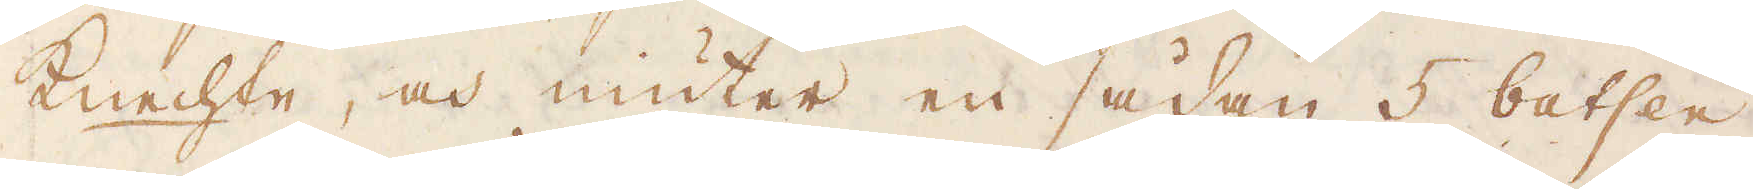Knechte, och niuter en sådan 5 batsen
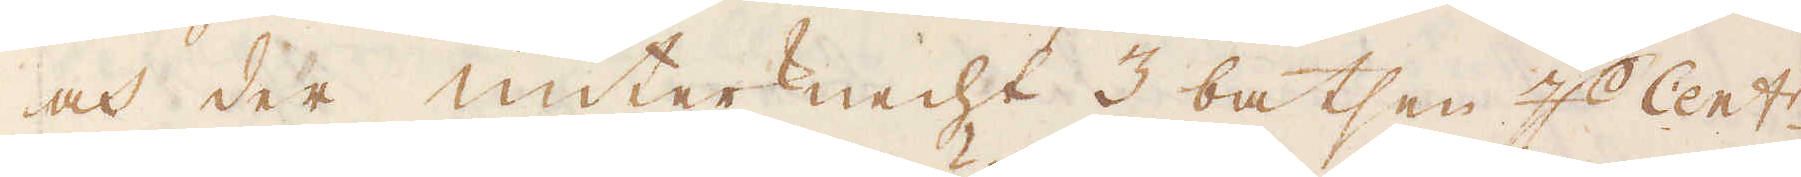och der unterknecht 3 batsen 4 Cent:r.
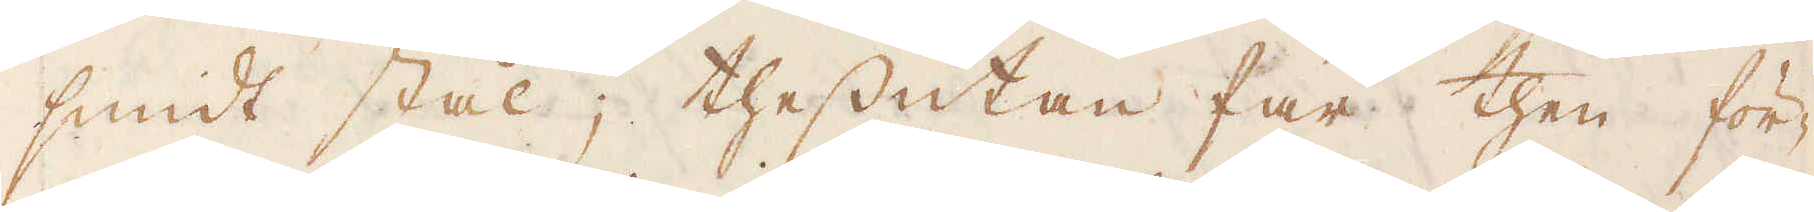smidt stål; thessutan får then för-
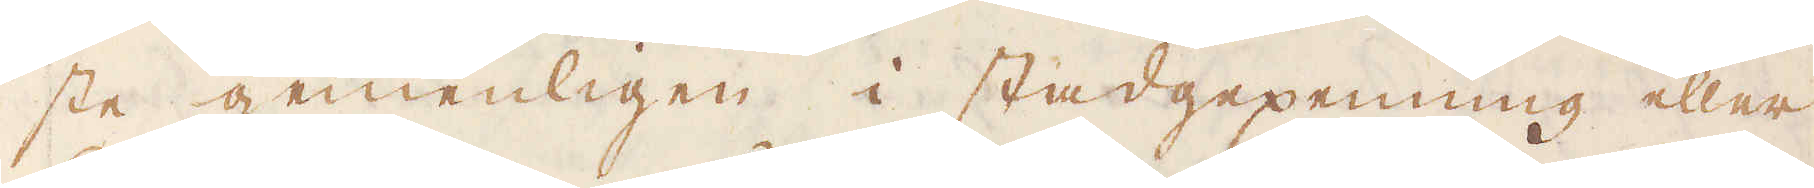ste gemenligen i stadgepenning eller
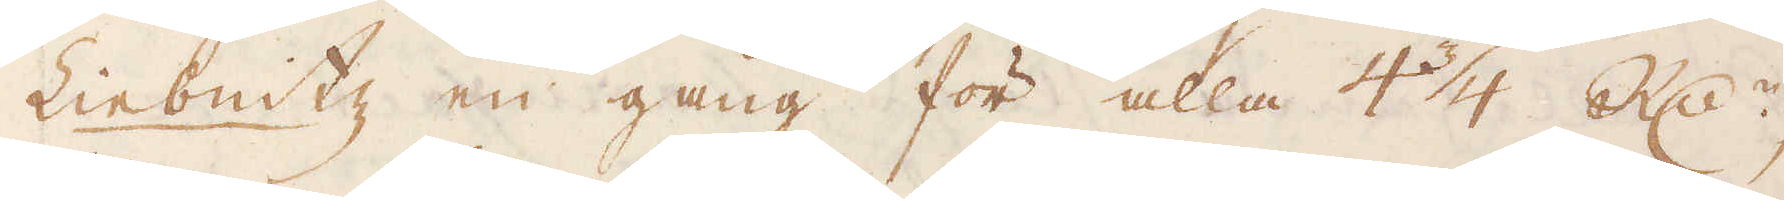Liebnitz en gång för alla 4 3/4 R:dr,
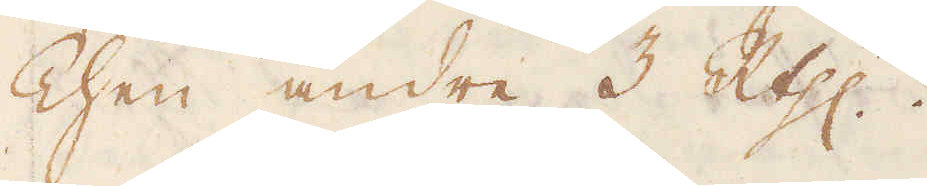Then andre 3 R:thlr.
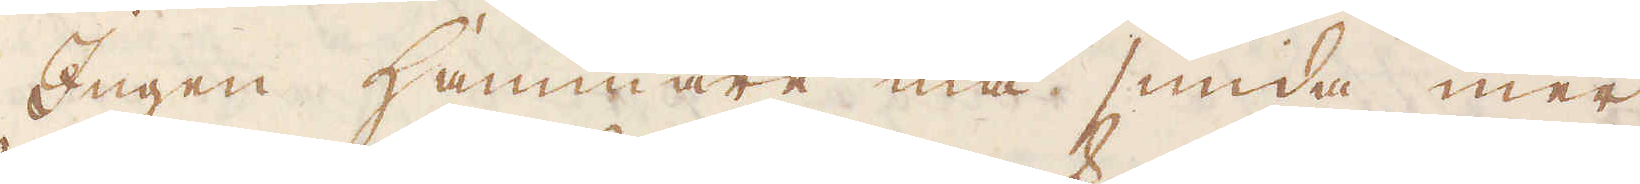Engen Hammare må smida mer
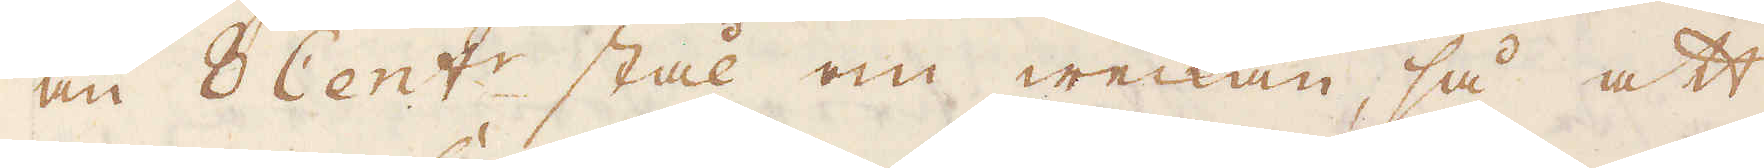än 8 Cent:r stål om weckan, så att
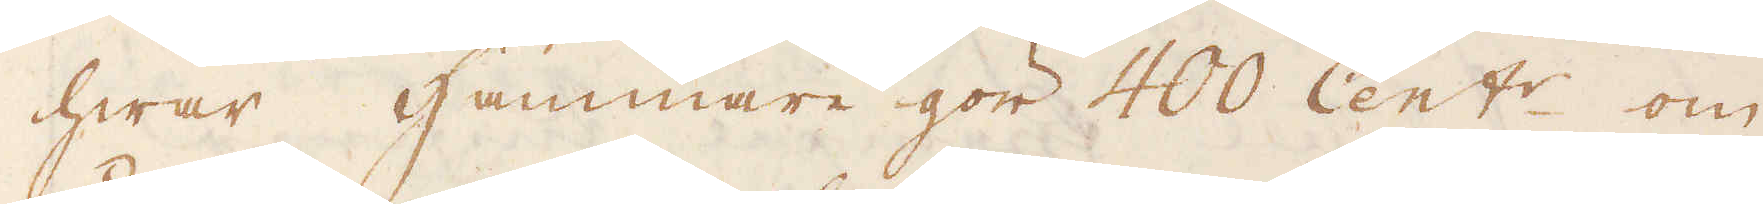hwar Hammare gör 400 Cent:r om
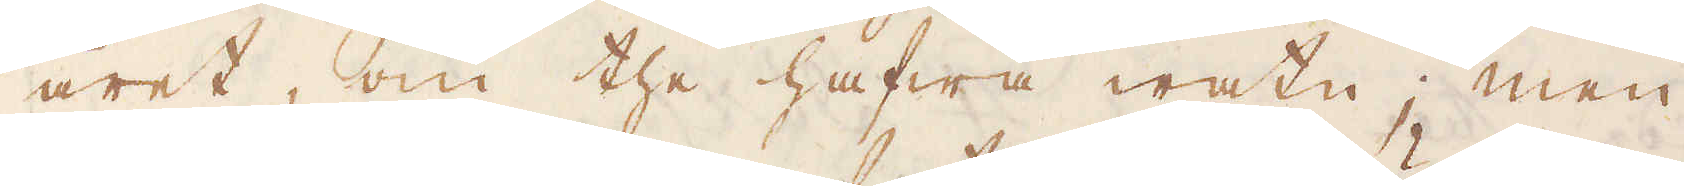året, om the hafwa watn; men
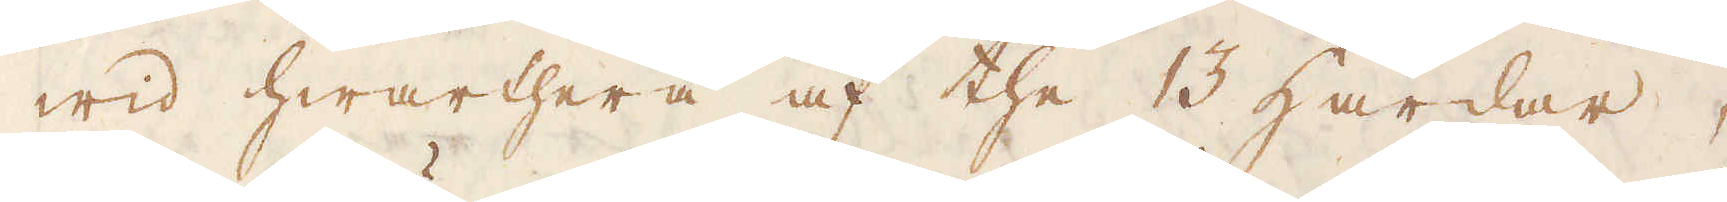wid hwarthera af the 13 Härdar,
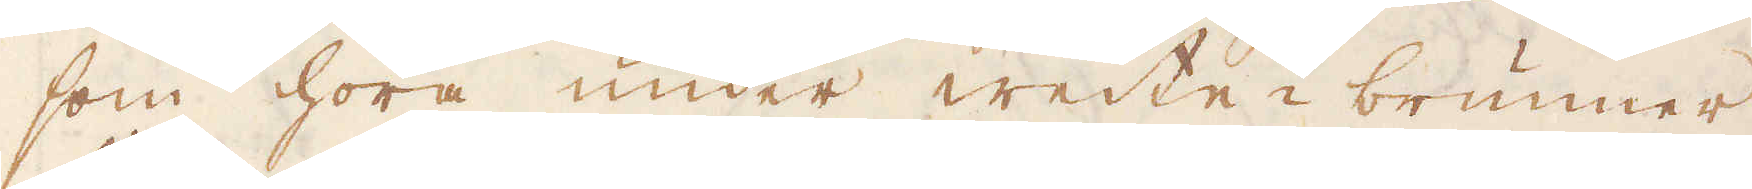som höra under weite-brunner
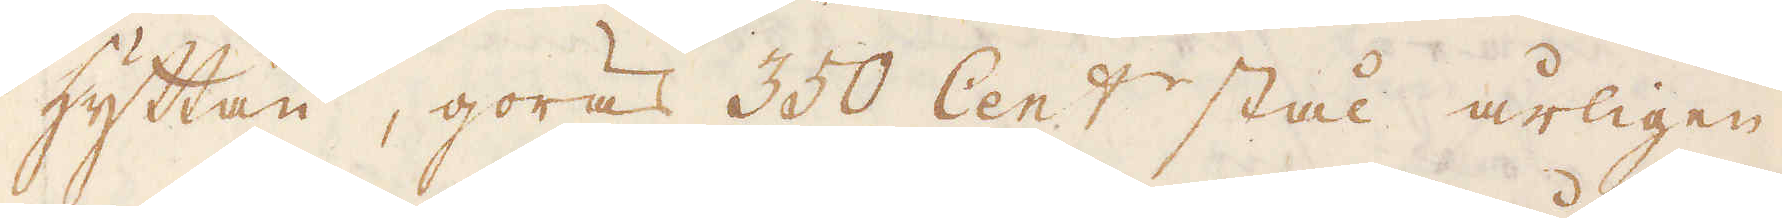hyttan, göras 350 Cent stål årligen.
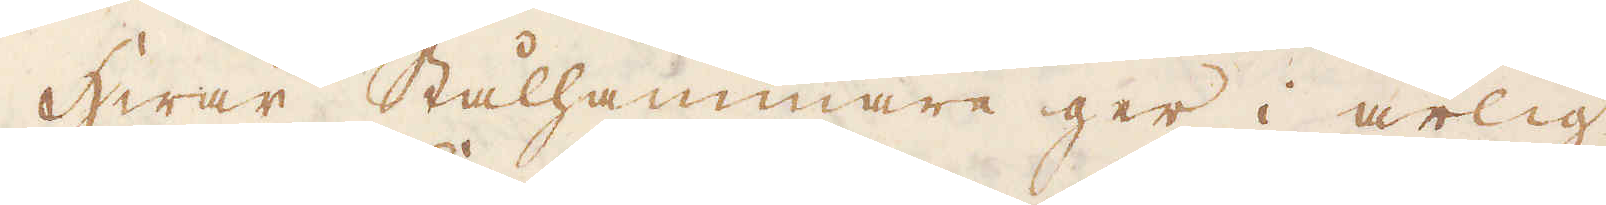Hwar Stålhammare ger i årlig
